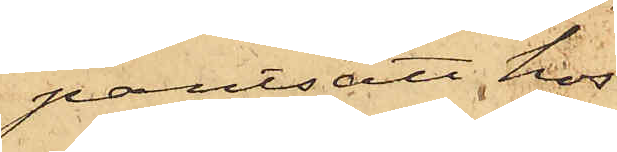pantsatt hos
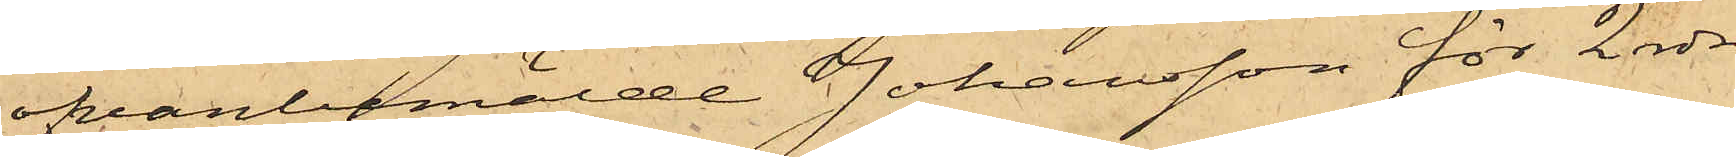ofvanbemälde Johansson för 2 rdr
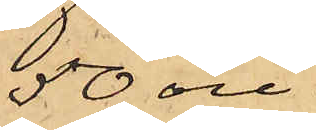50 öre.
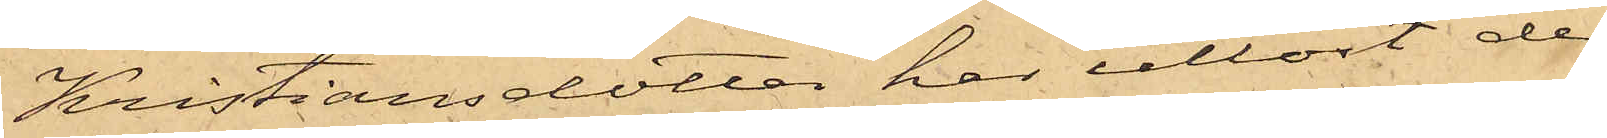Kristiansdotter har utlöst de
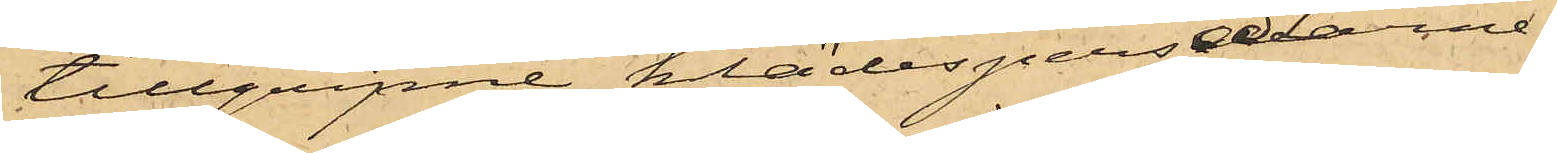tillgripne klädespersedlarne,
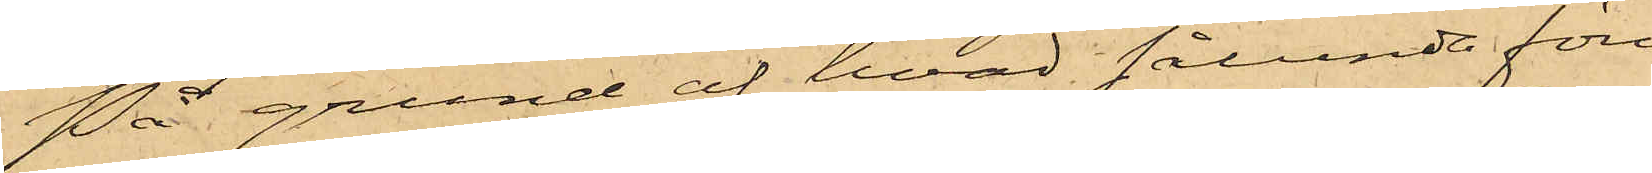På grund af hvad sålunda före¬
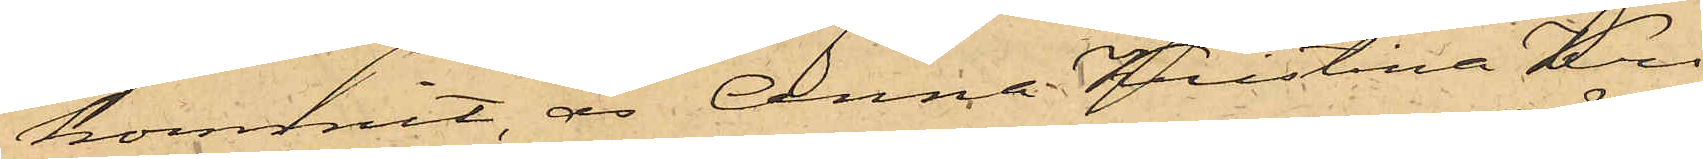kommit, är Anna Kristina Kri¬
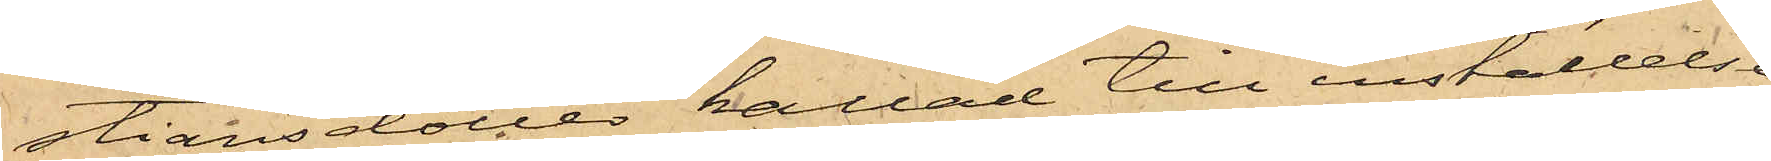stiansdotter kallad till inställelse
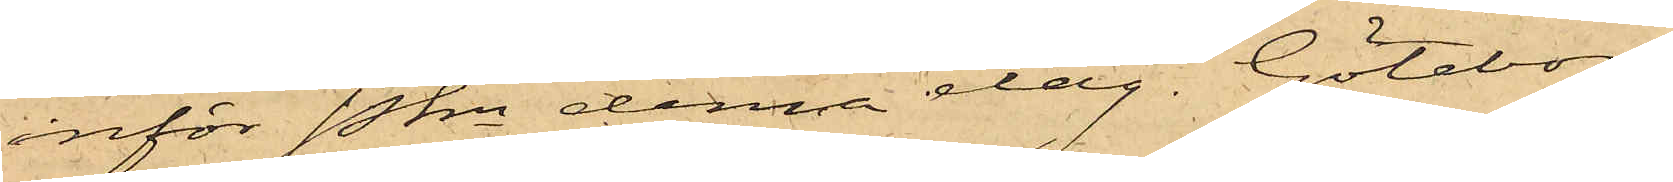inför Pkn denna dag. Göteborg
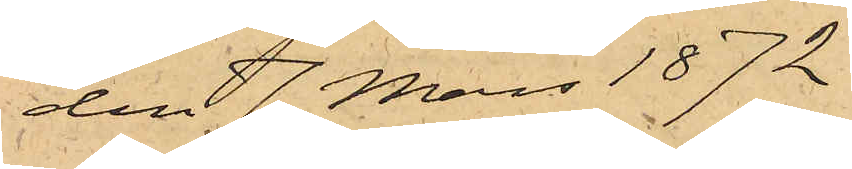den 7 Mars 1872
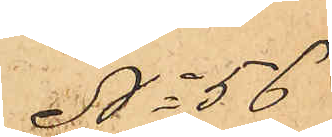No 56
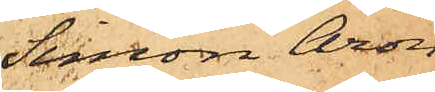Simon Aron
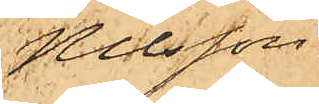Nilsson.
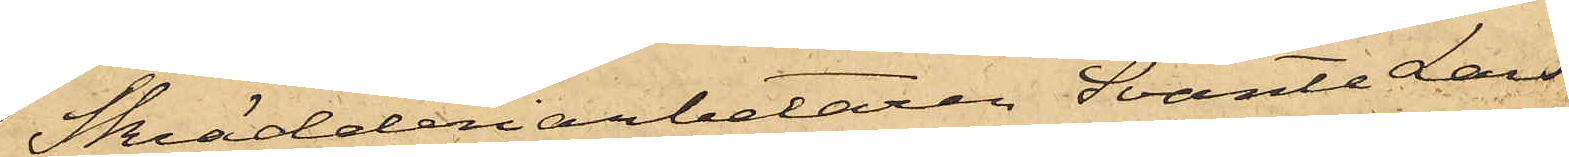Skrädderiarbetaren Svante Lars¬
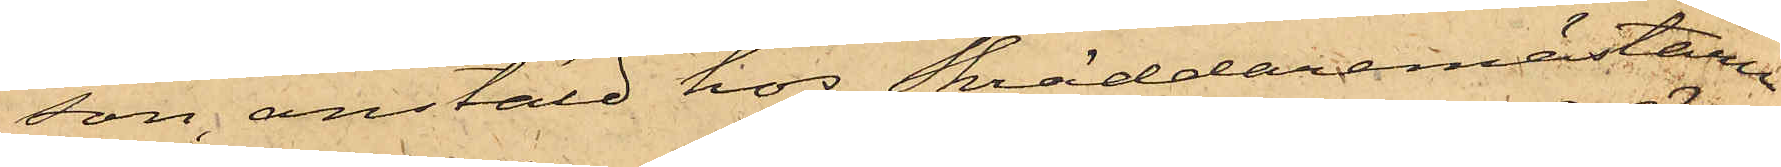son, anstäld hos Skräddaremästaren
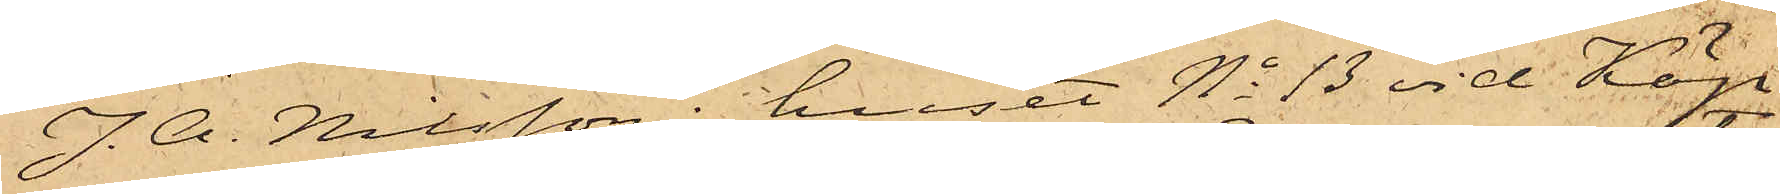J. A. Nilsson i huset No 13 vid Köp¬
